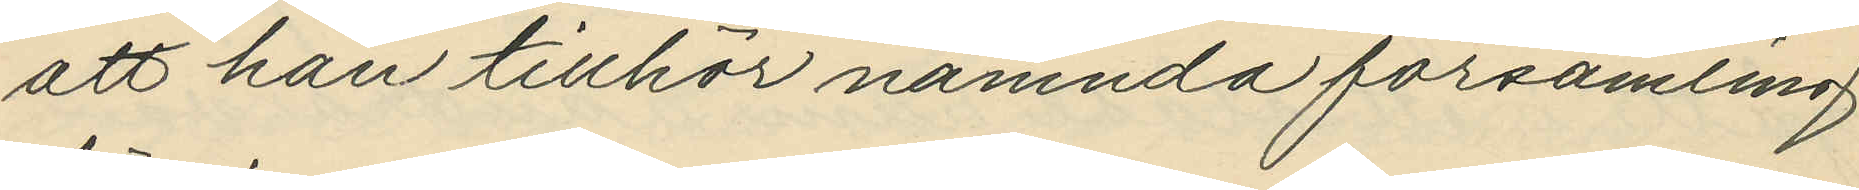att han tillhör nämnda församling
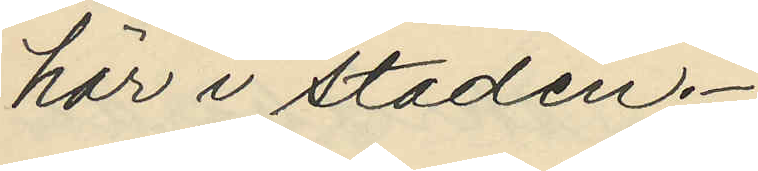här i staden.
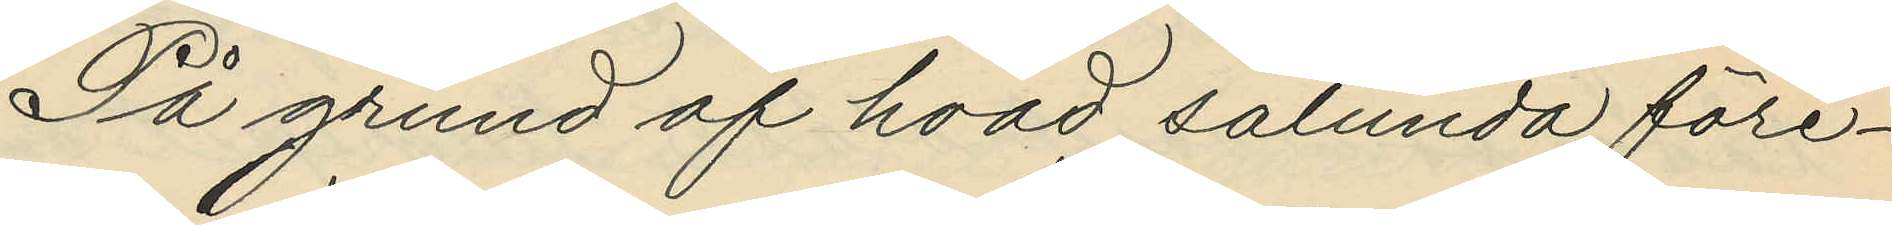På grund af hvad sålunda före¬
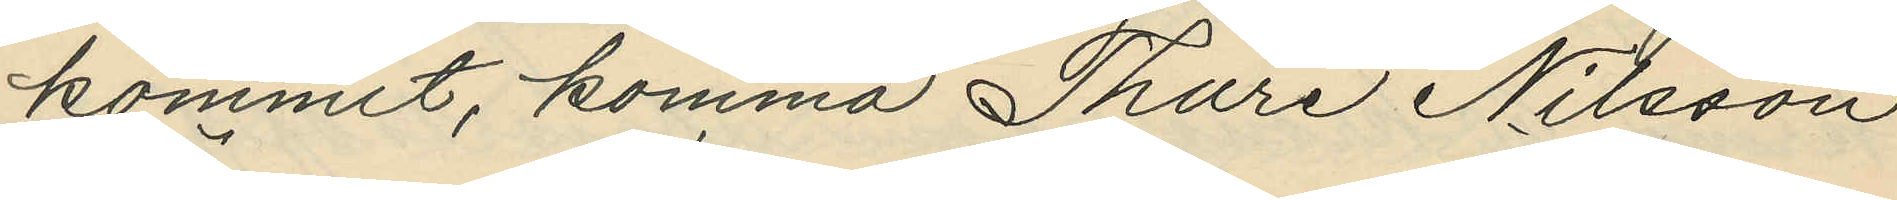kommit, komma Thure Nilsson
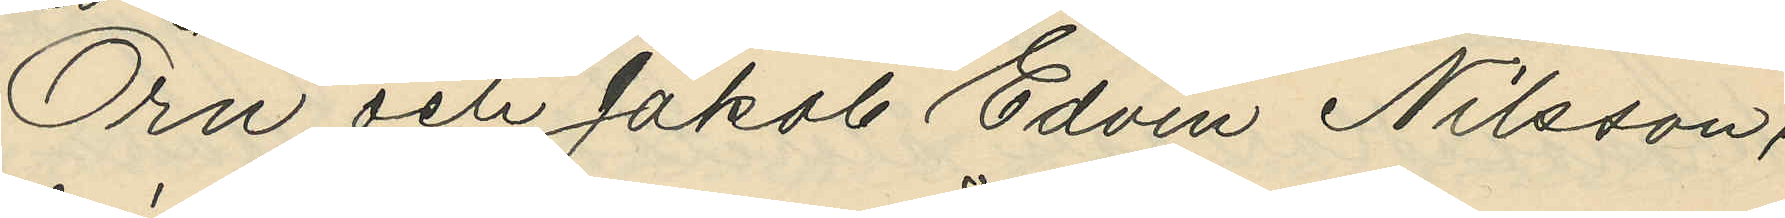Örn och Jakob Edvin Nilsson,
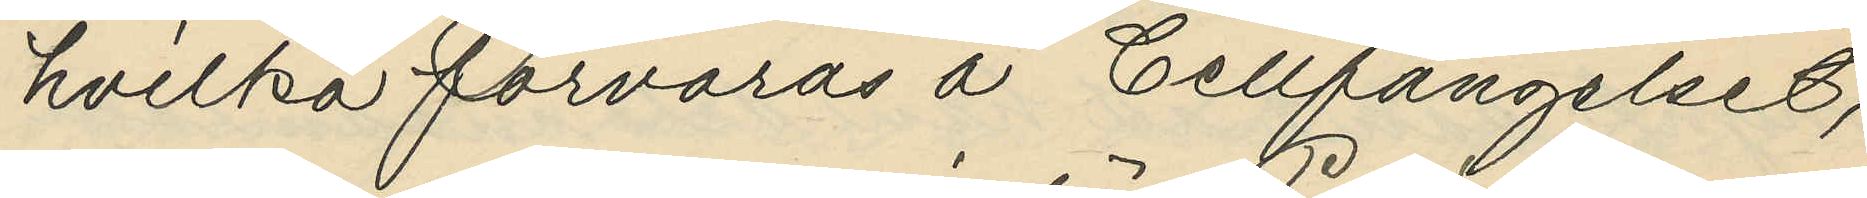hvilka förvaras å Cellfängelset, 
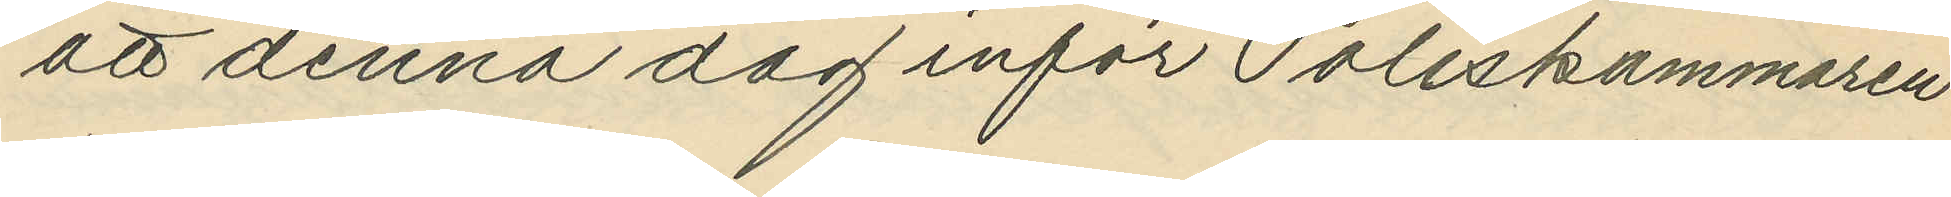att denna dag inför Poliskammaren
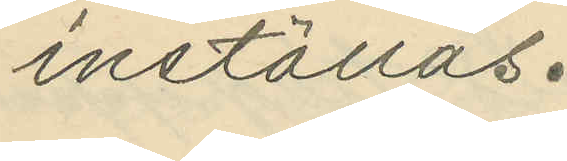inställas.
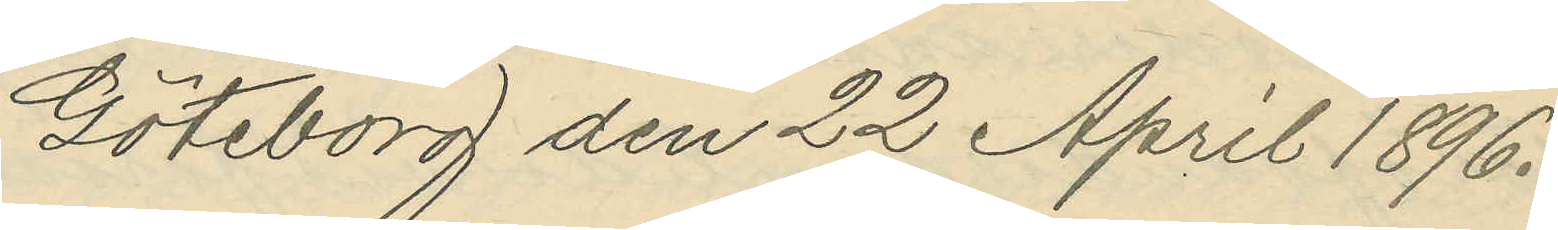Göteborg den 22 April 1896.
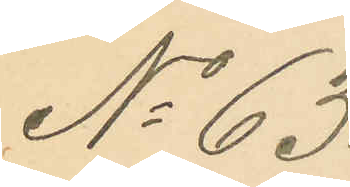No 63.
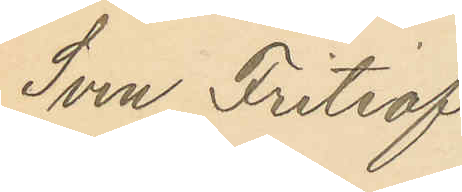Sven Fritiof
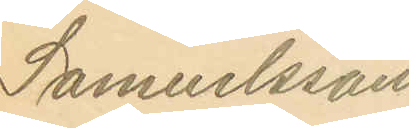Samuelsson.
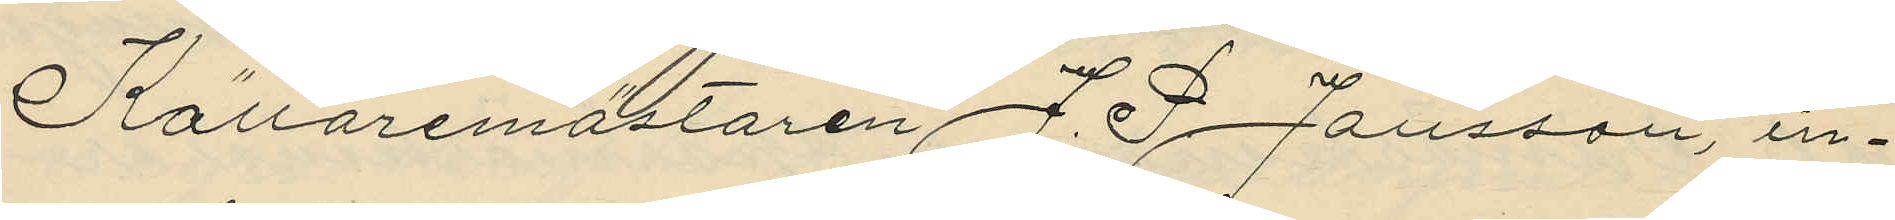Källaremästaren J. P. Jansson, in¬
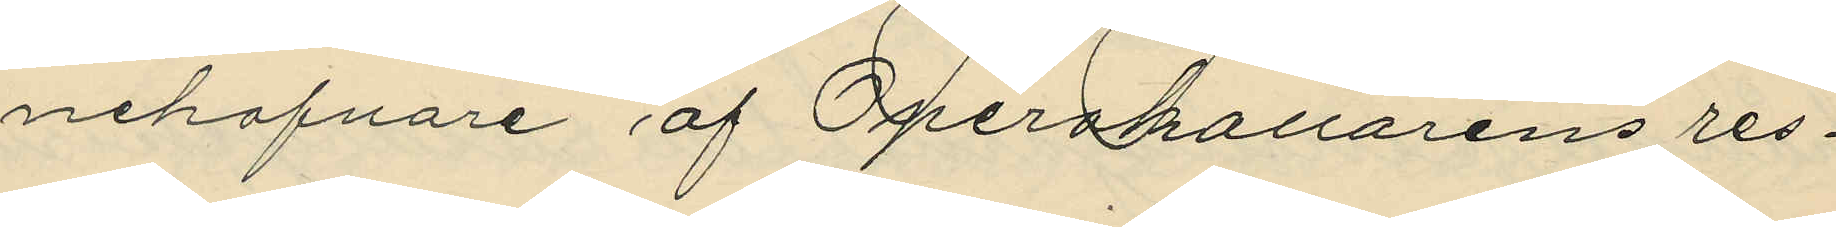nehafvare af Operakallarens res¬
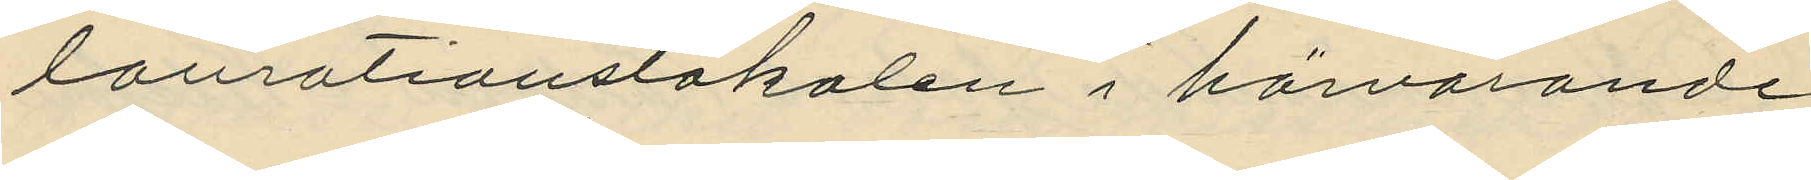laurationslokalen i härvarande
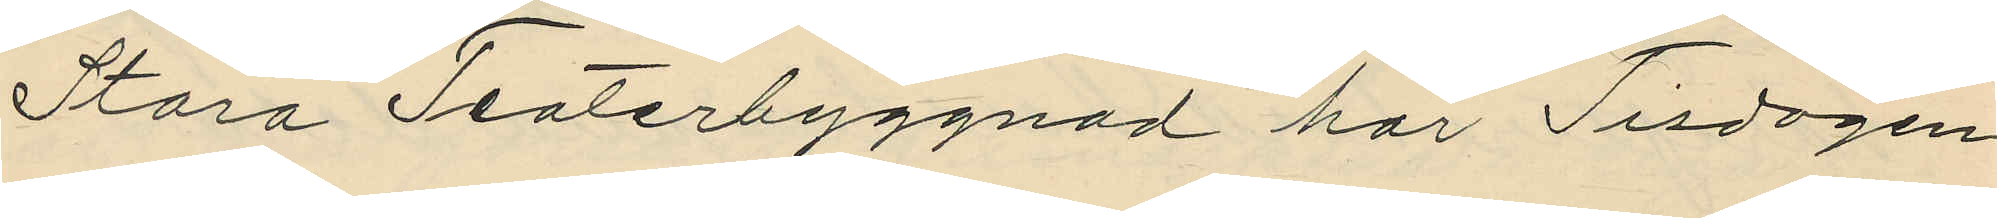Stora Teaterbyggnad har Tisdagen
